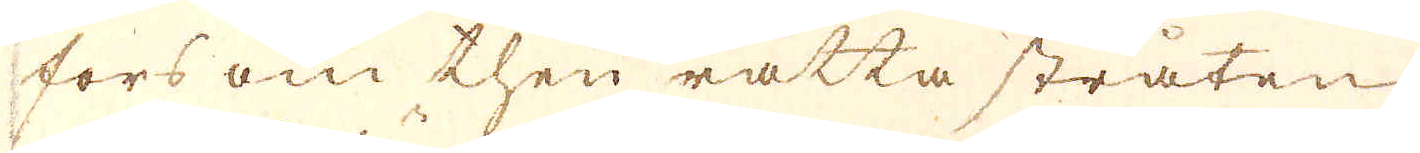fors om then rätta stråten
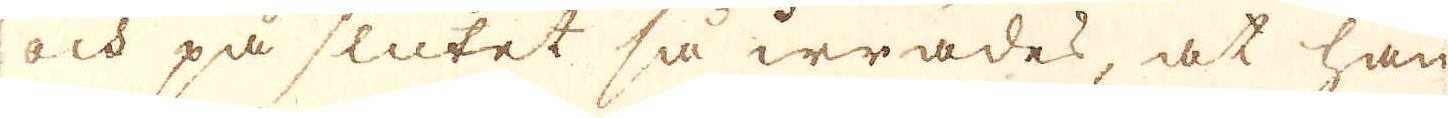och på slutet så irrades, at han
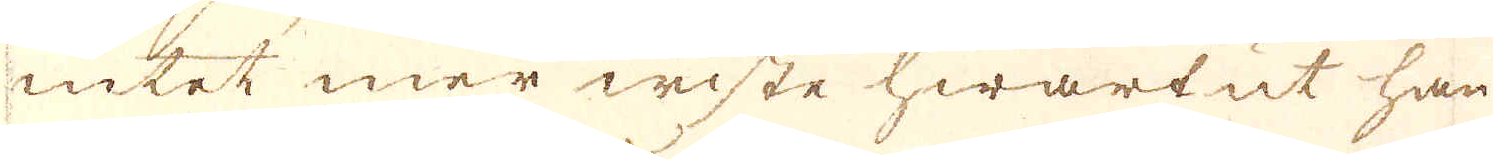intet mer wiste hwartut han
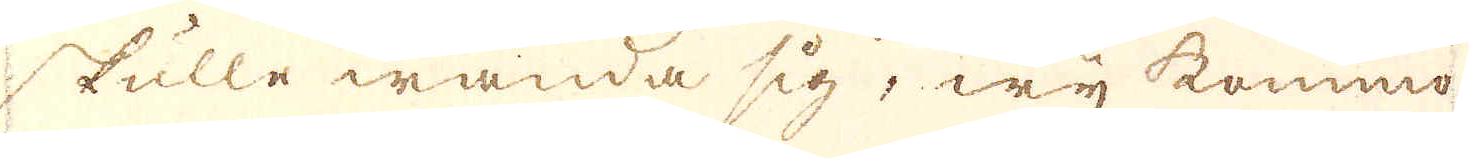skulle wända sig, wij kommo
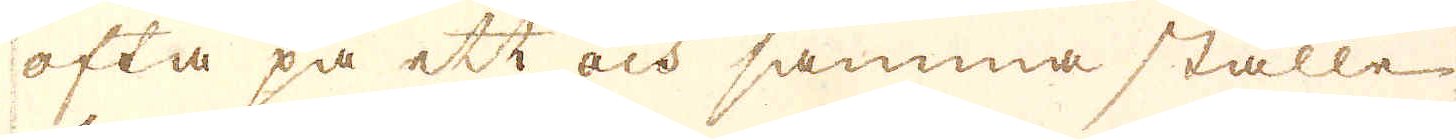ofta på ett och samma ställe
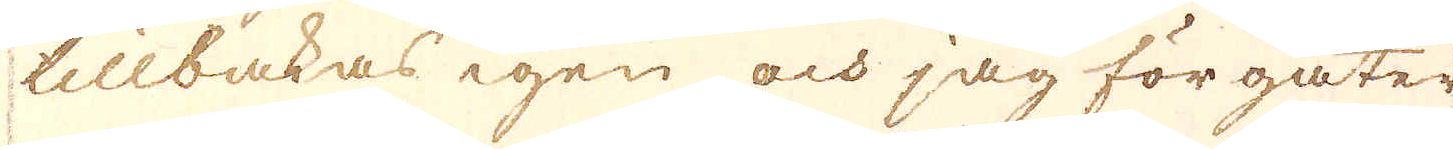tillbakas igen och jag förgäter
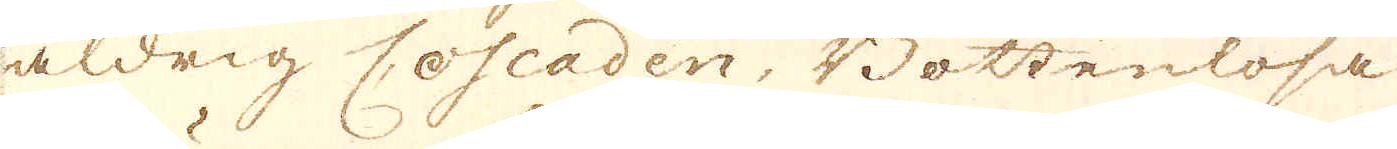aldrig Coscaden, Bottenlösa
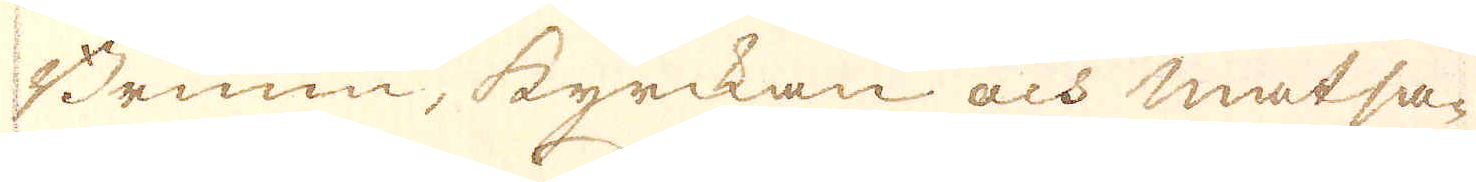Brunn, styrckan och Matsa-
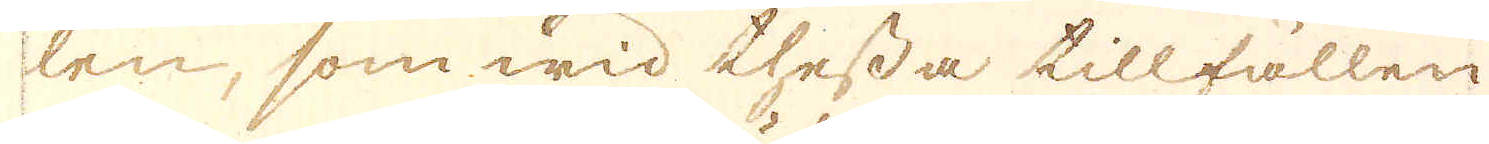len, som wid thessa tillfällen
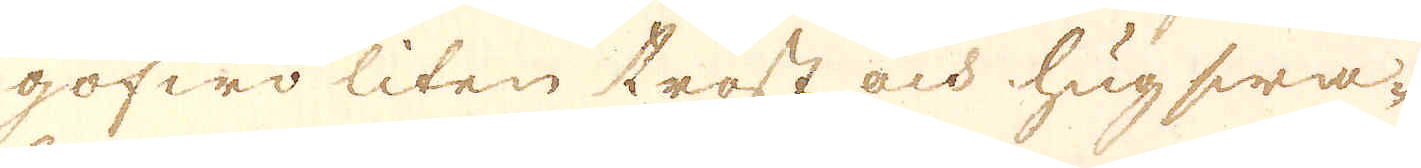gofwo liten tröst och hug swa-
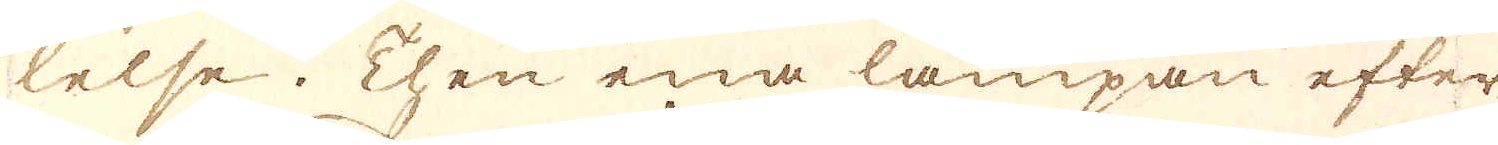lelse. Then ena lampan efter
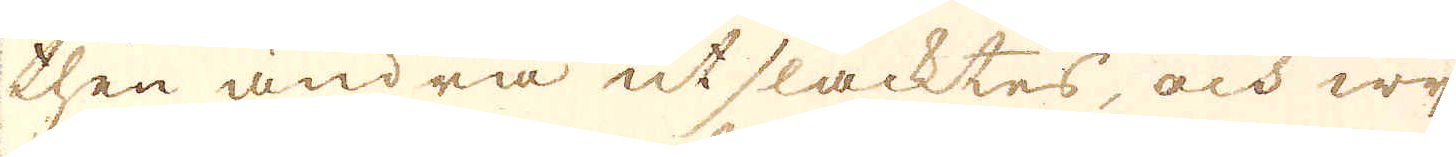then andra utsläcktes, och wij
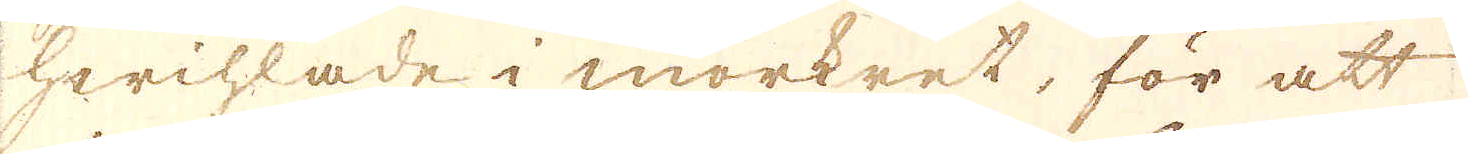hwihlade i mörkret, för att
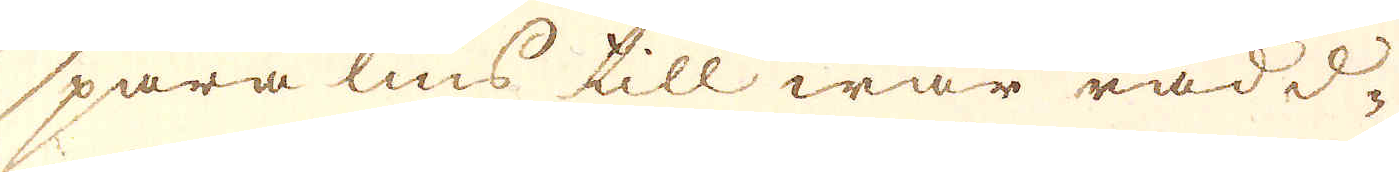spara lius till wår rädd-
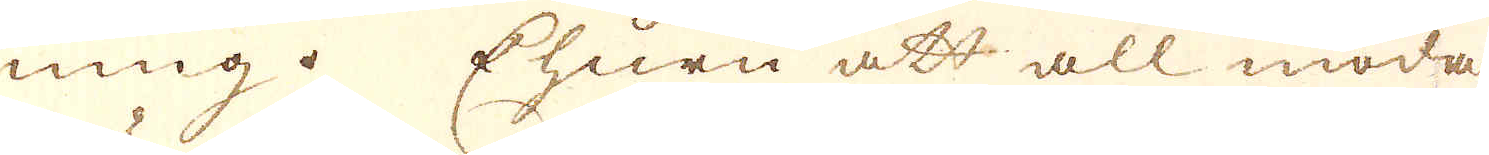ning. Ehuru att all möda
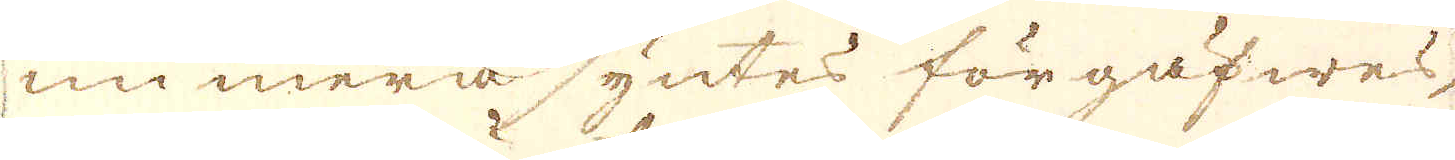nu mera syntes förgäfwes,
